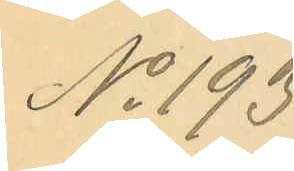No 193.
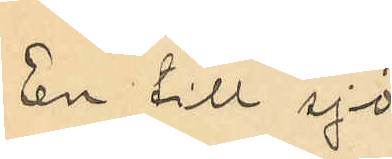En till sjö¬
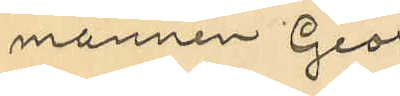mannen Georg
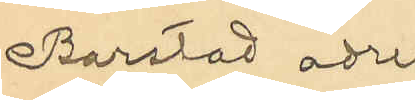Barstad adres¬
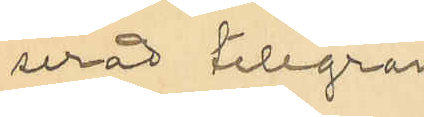serad telegram¬
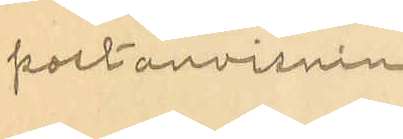postanvisning
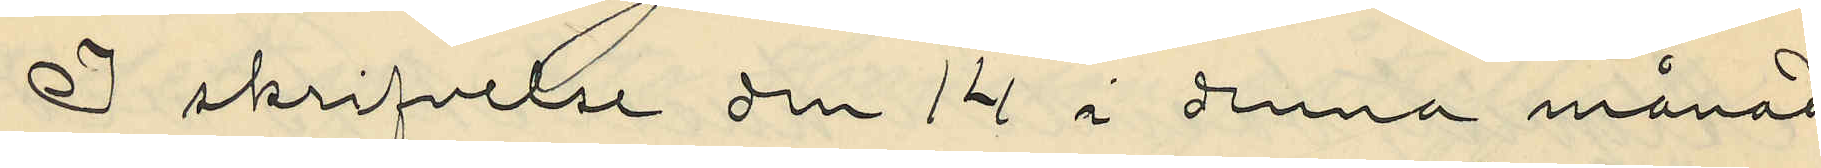I skrifvelse den 14 i denna månad
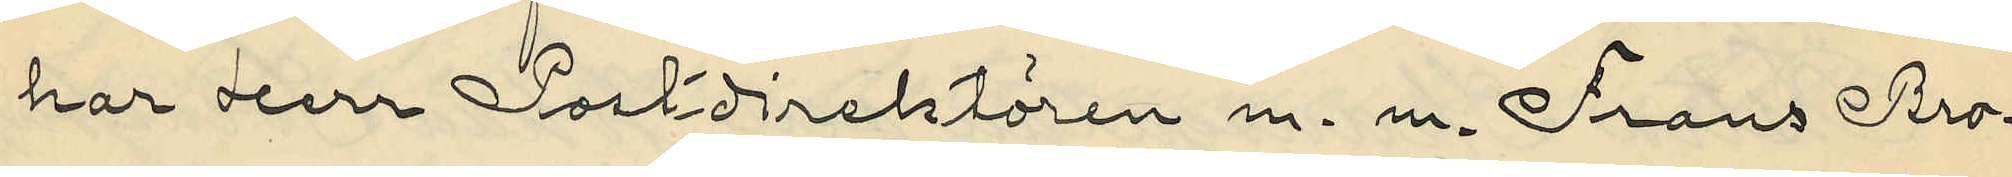har Herr Postdirektören m. m. Frans Bro¬
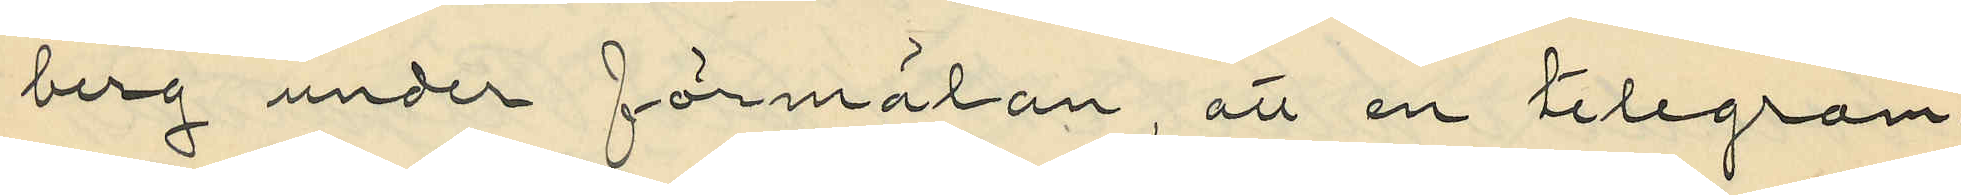berg under förmälan, att en telegram¬
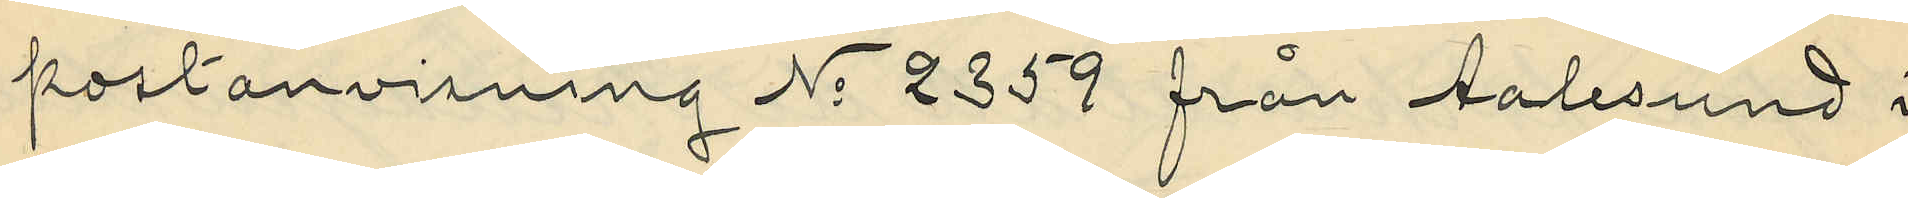postanvisning No 2359 från Aalesund i
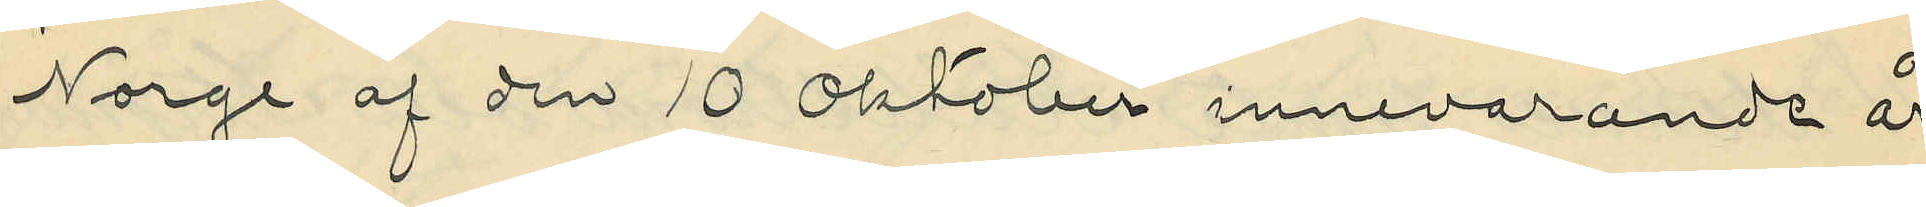Norge af den 10 Oktober innevarande år
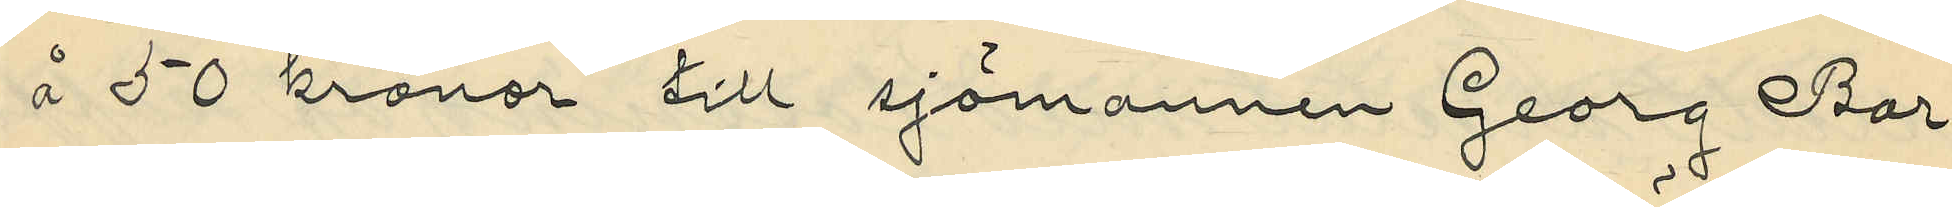å 50 kronor till sjömannen Georg Bar¬
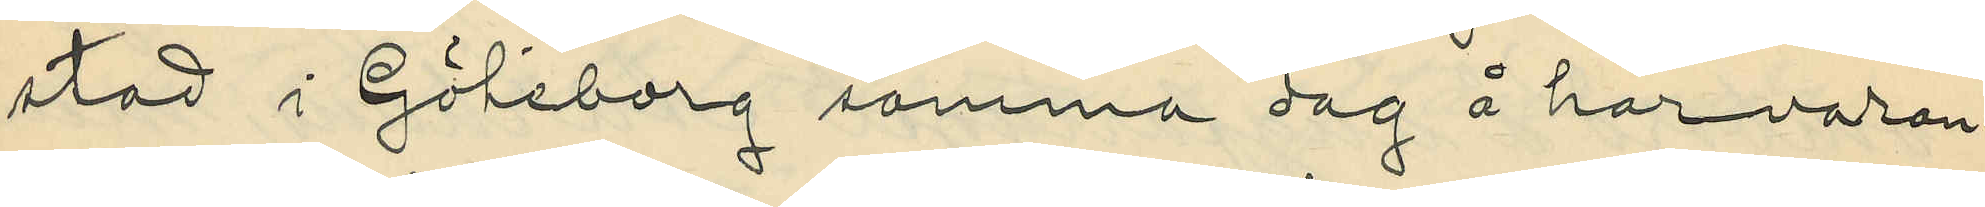stad i Göteborg samma dag å härvaran¬
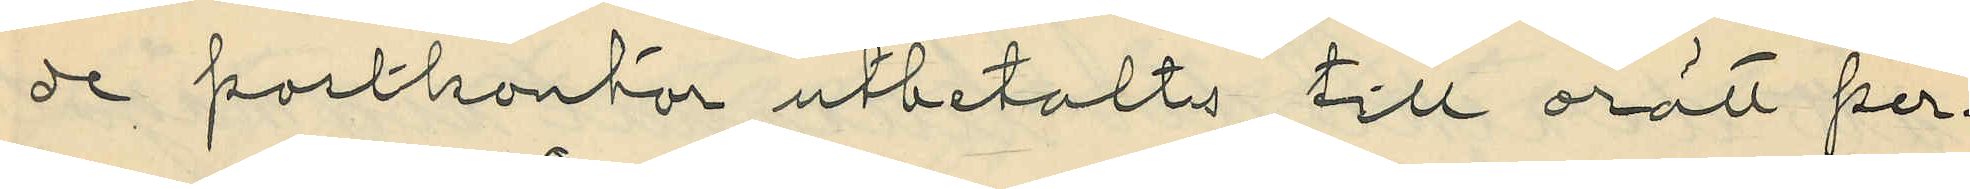de postkontor utbetalts till orätt per¬
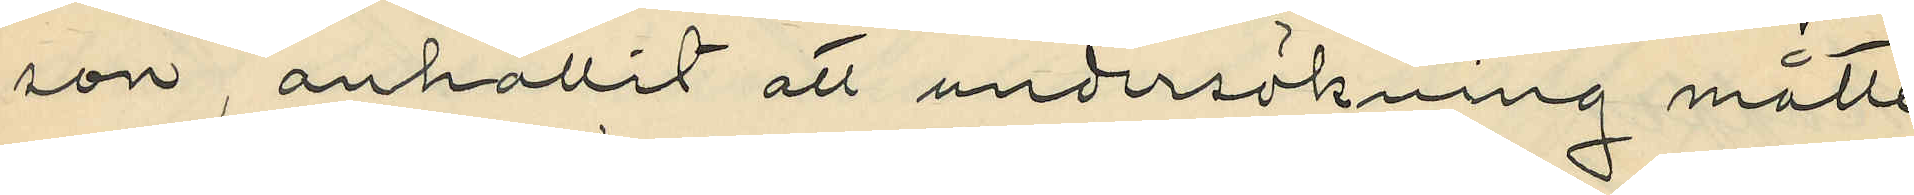son, anhållit att undersökning måtte
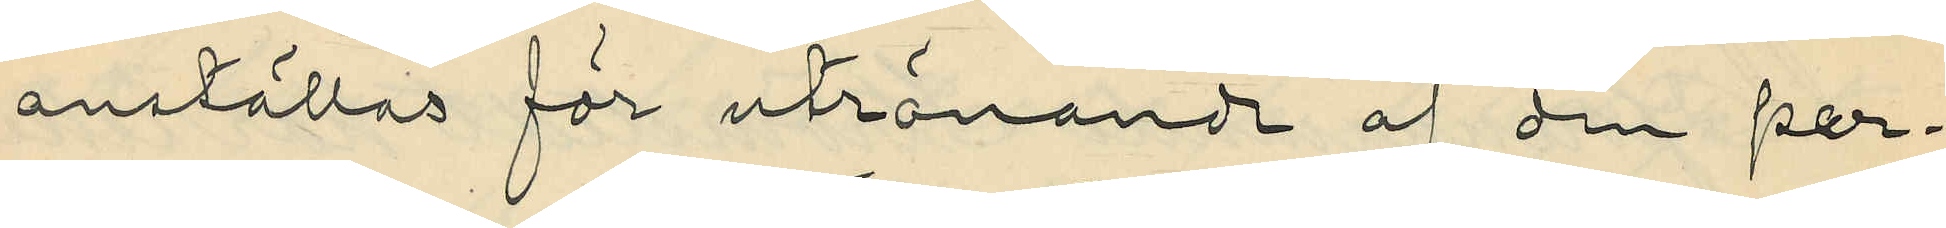anställas för utrönande af den per¬
